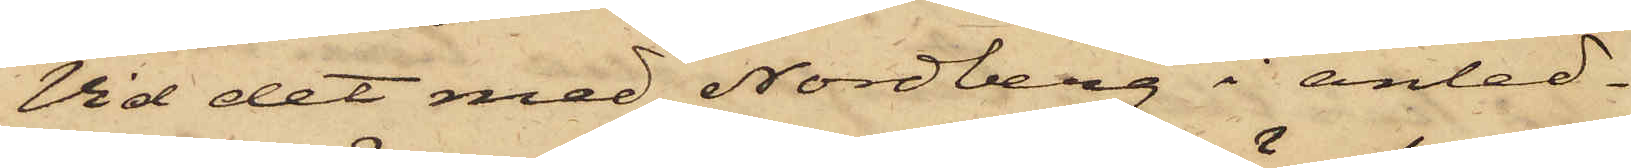Vid det med Nordberg i anled¬
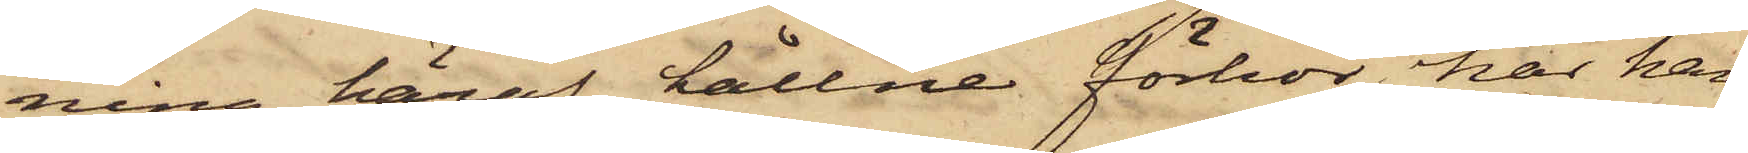ning häraf hållne förhör har han
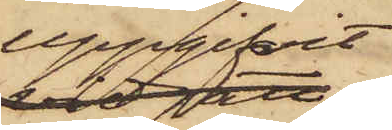uppgifvit,
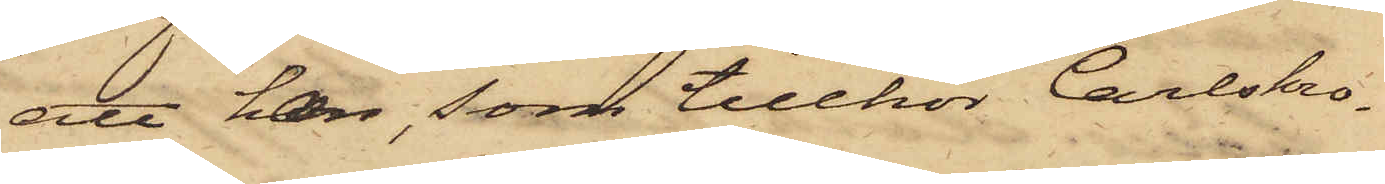att han, som tillhör Carlskro¬
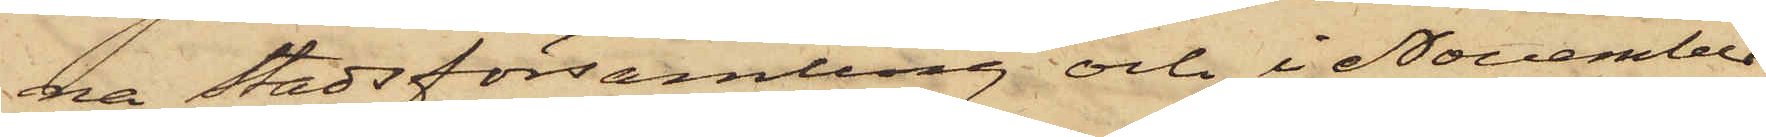na Stadsförsamling och i November
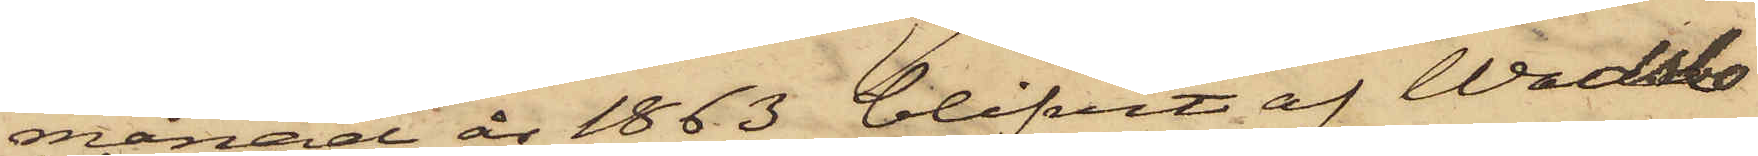månad år 1863 blifvit af Wadsbo
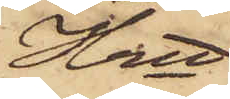Hrtt
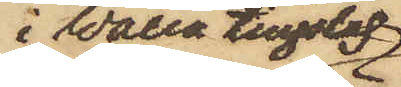i Walla tingslag
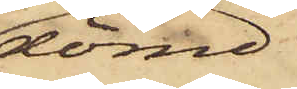dömd
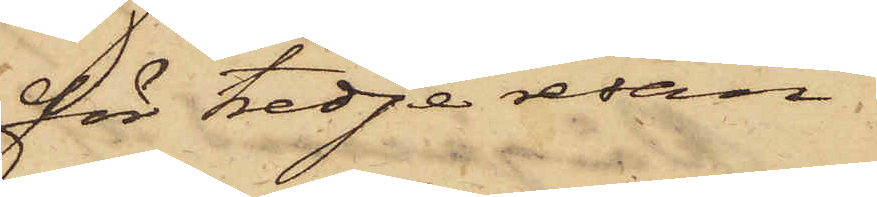för tredje resan
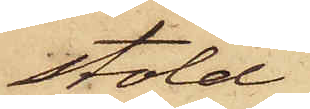stöld
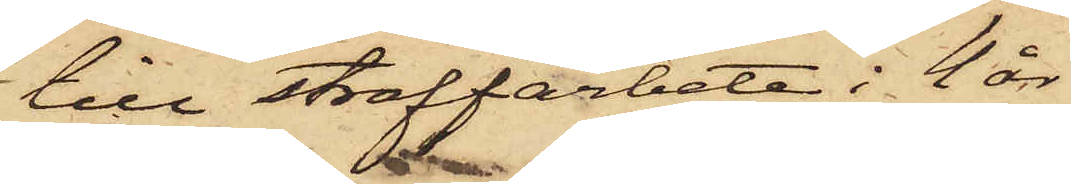till straffarbete i 4 år
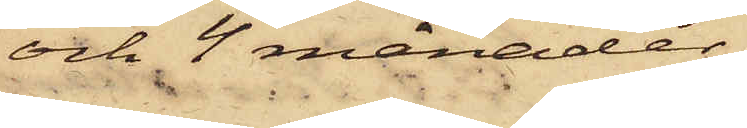och 4 månader,
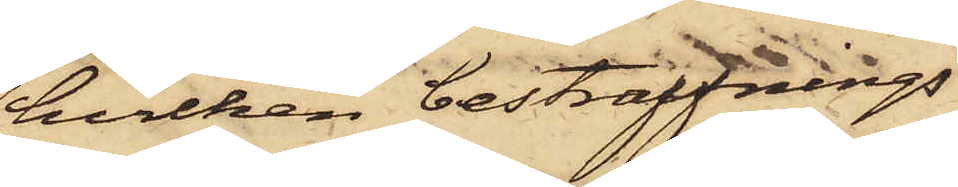hvilken bestraffnings
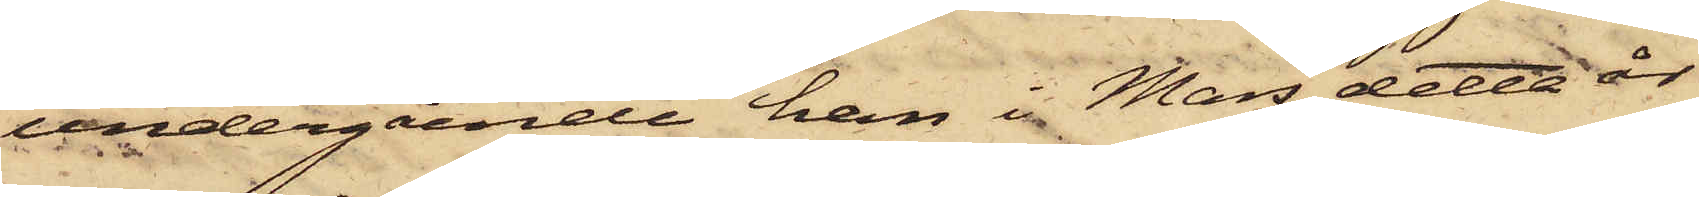undergående han i Mars detta år
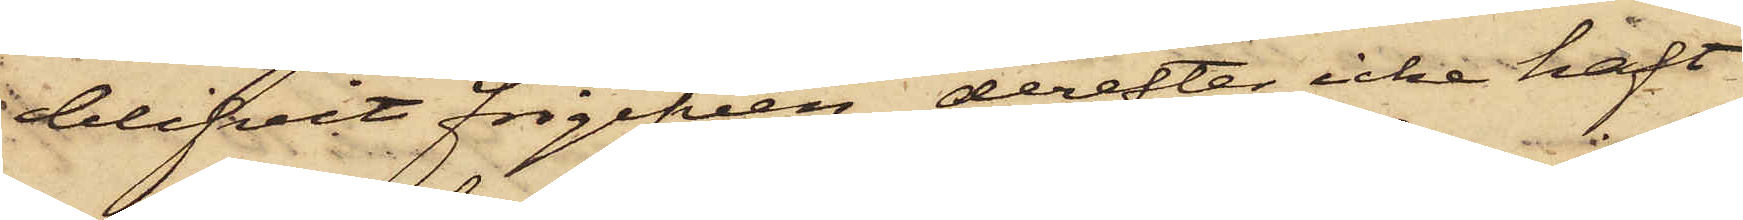blifvit frigifven, derefter icke haft
